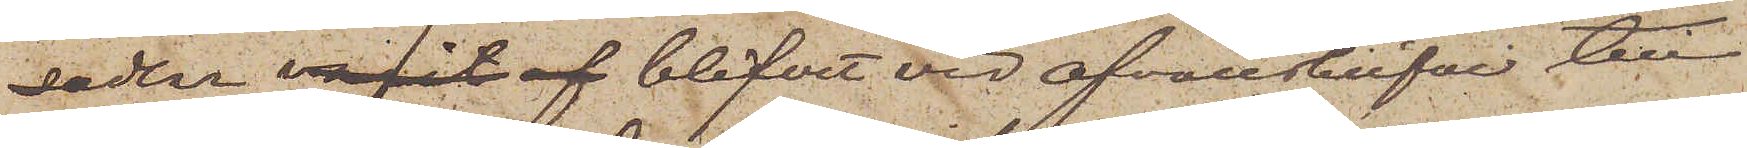sedlar varit af blifvit vid ofvanskrifvne till¬
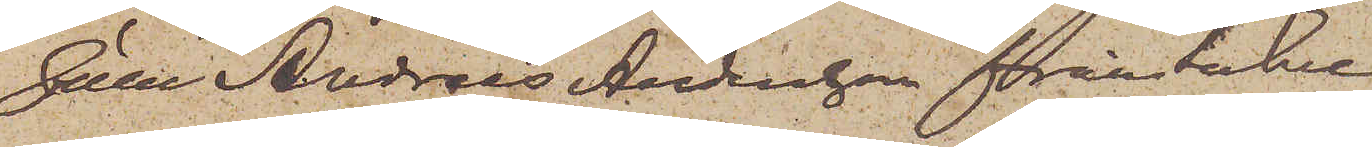fälle Andreas Andersson fråntakne.
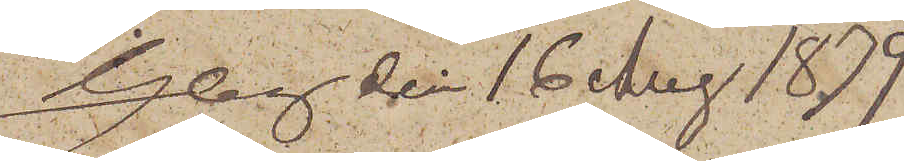Gbg den 16 Aug 1879.
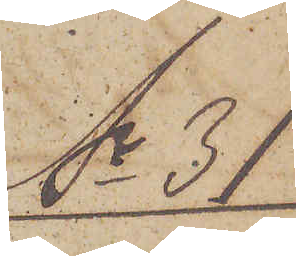No 31
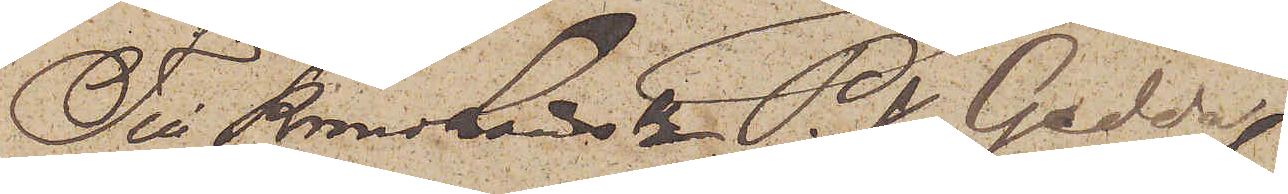Till Kronolänsman P.J. Gedda
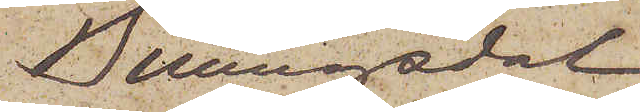Billingsdal
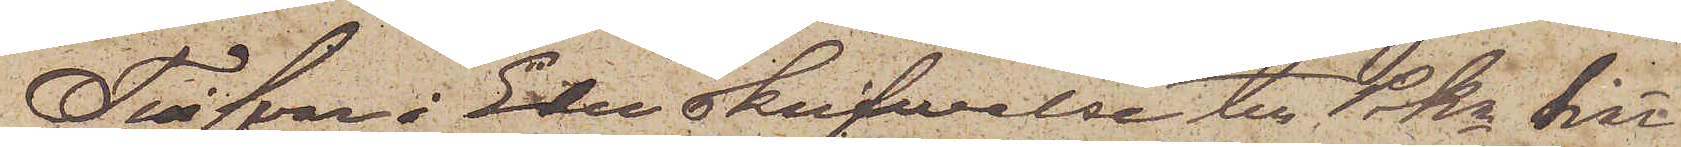Till svar å Eder skrifwelse till Pkn här¬
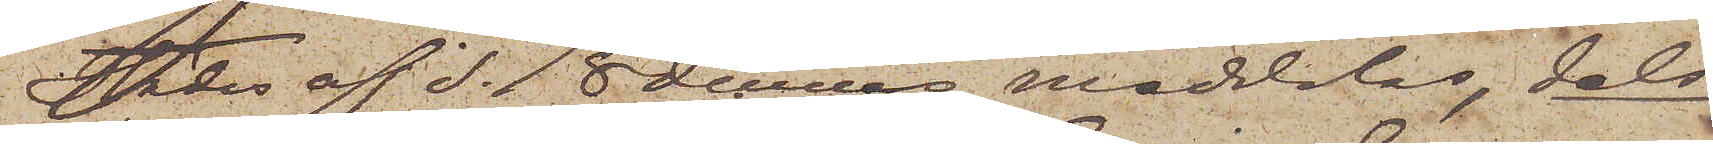städes af d. 18 dennes meddelas, dels
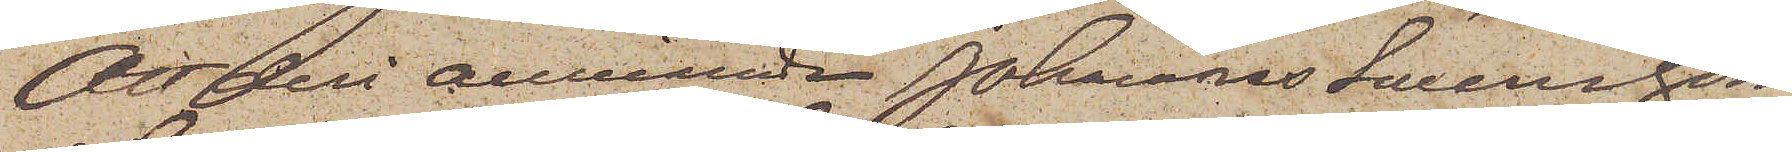att deri omnämde Johannes Swensson
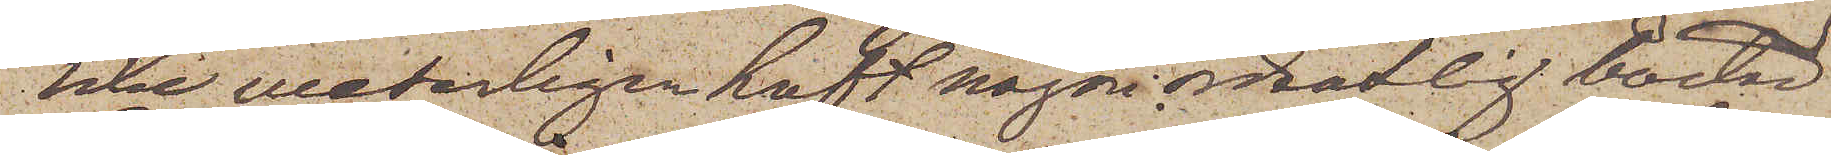icke weterligen haft någon ordentlig bostad
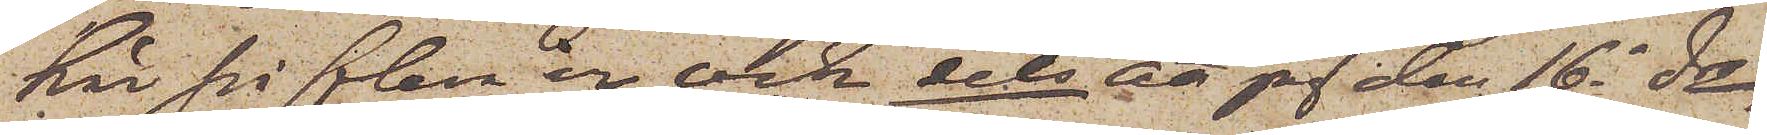här på flera år och dels att jag den 16 ds
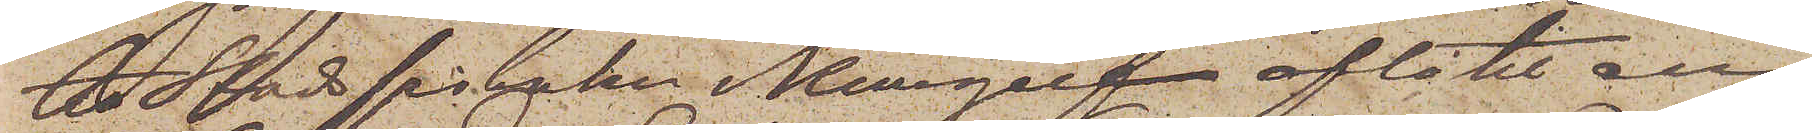till Stadsfiskalen i Kungelf aflåtit en
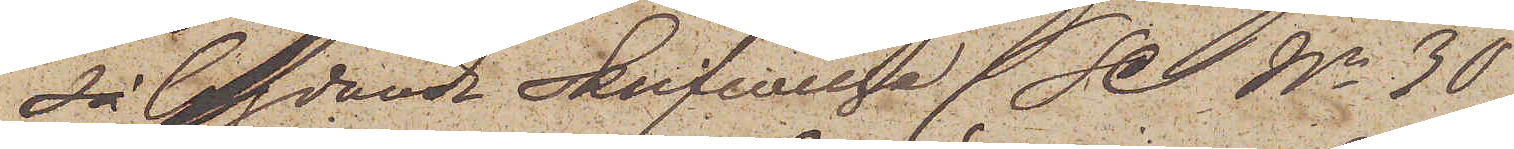så lydande Skrifwelse (Se No 30).
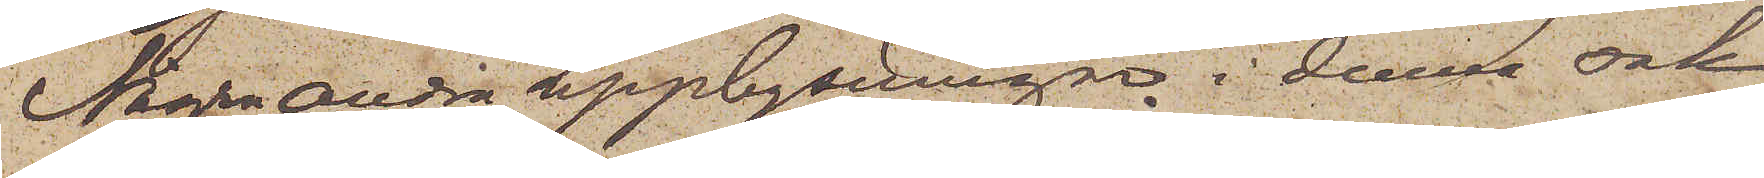Några andra upplysningar i denna sak
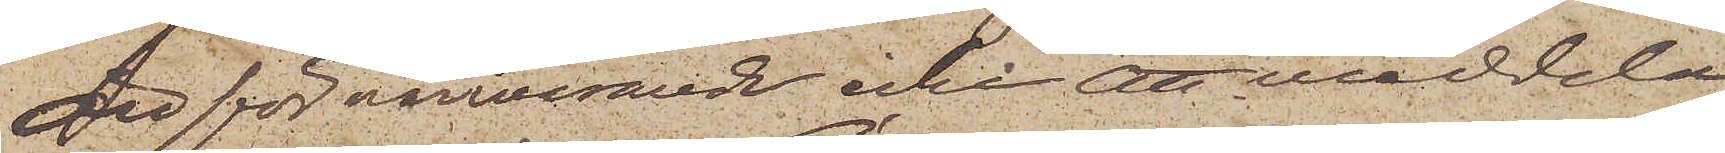är för närvarande icke att meddela.
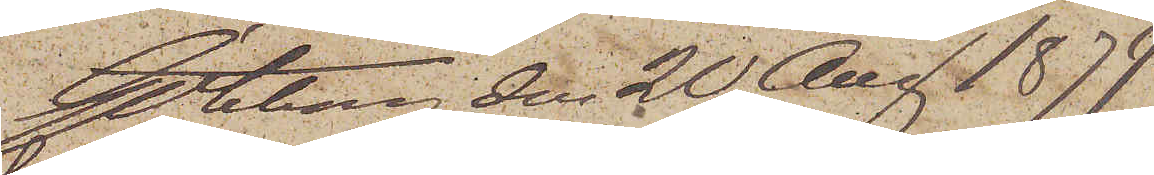Göteborg den 20 Aug. 1879.
